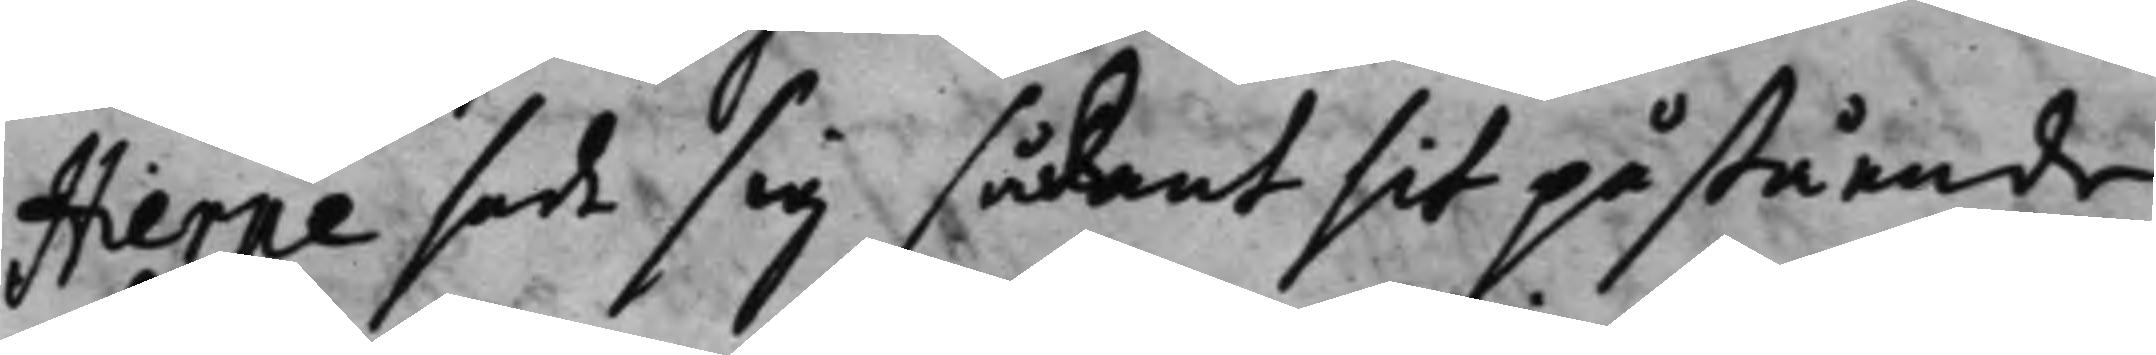Hierpe sade sig sådant sit påstående
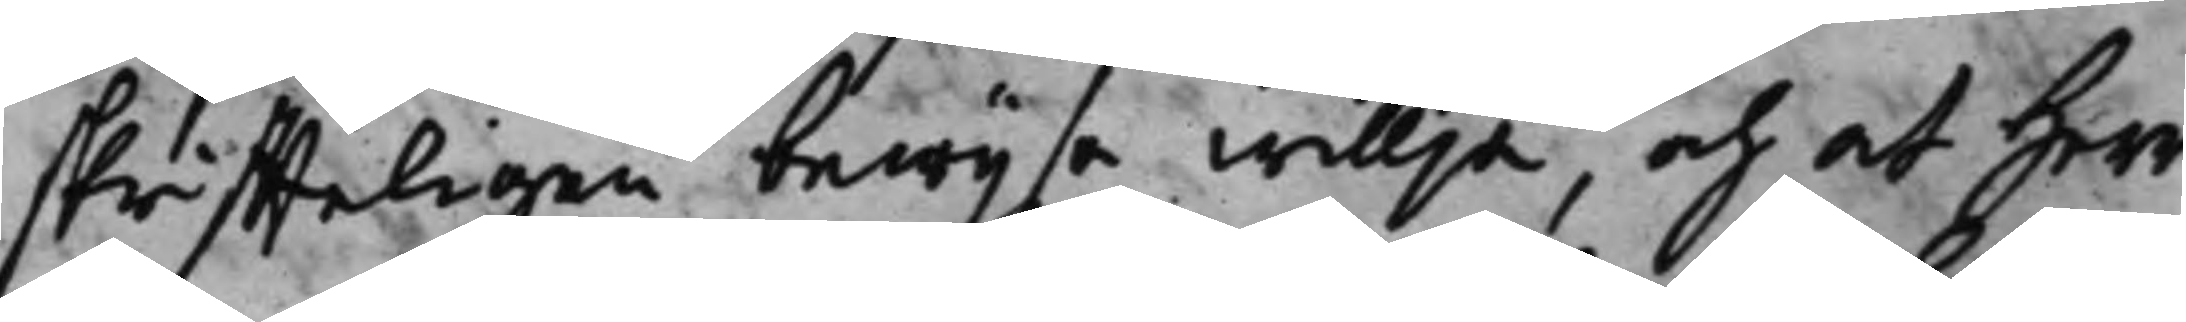skriffteligen bewijsa willja, och at Herr
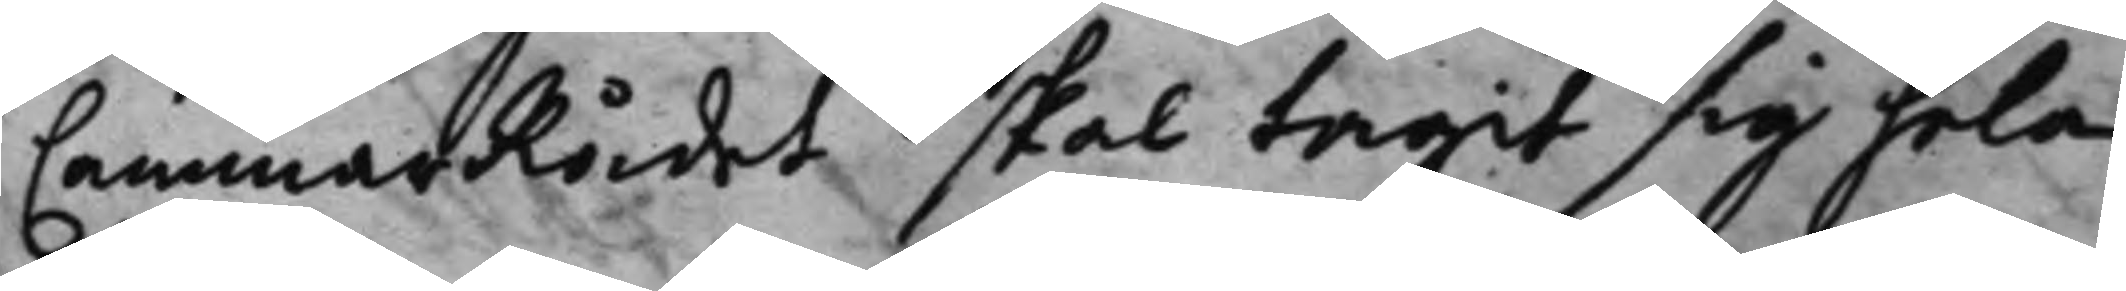CammarRådet skal tagit sig hela
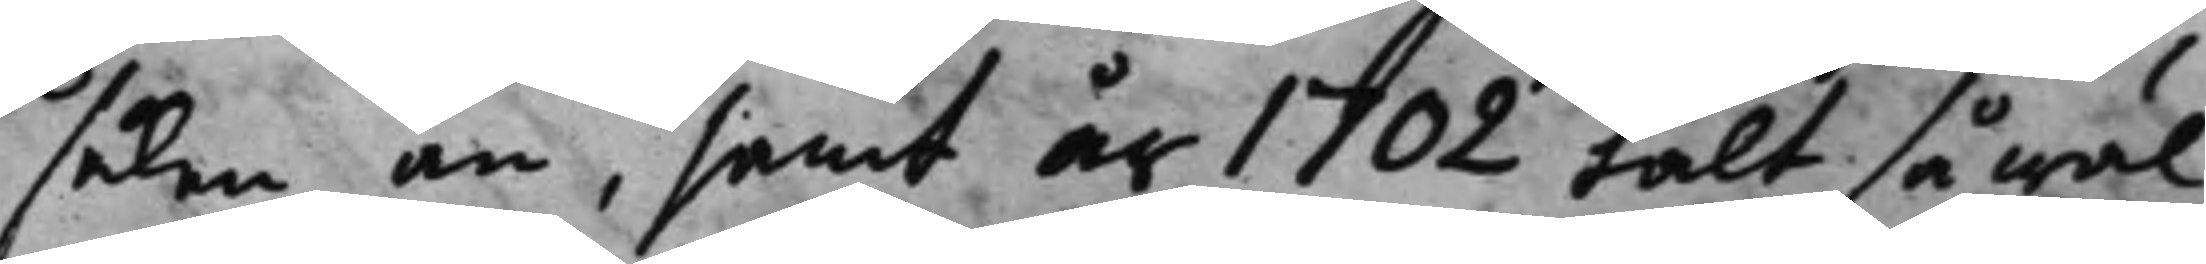saken an, samt år 1702 talt så wäl
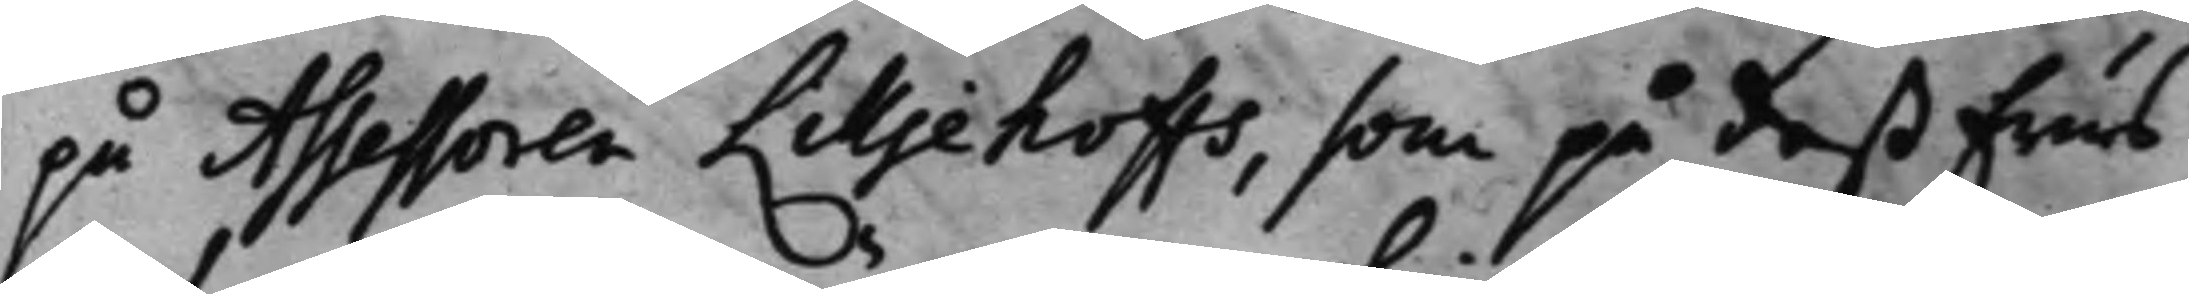på Assessoren Lilljehoffs, som på deß Frus
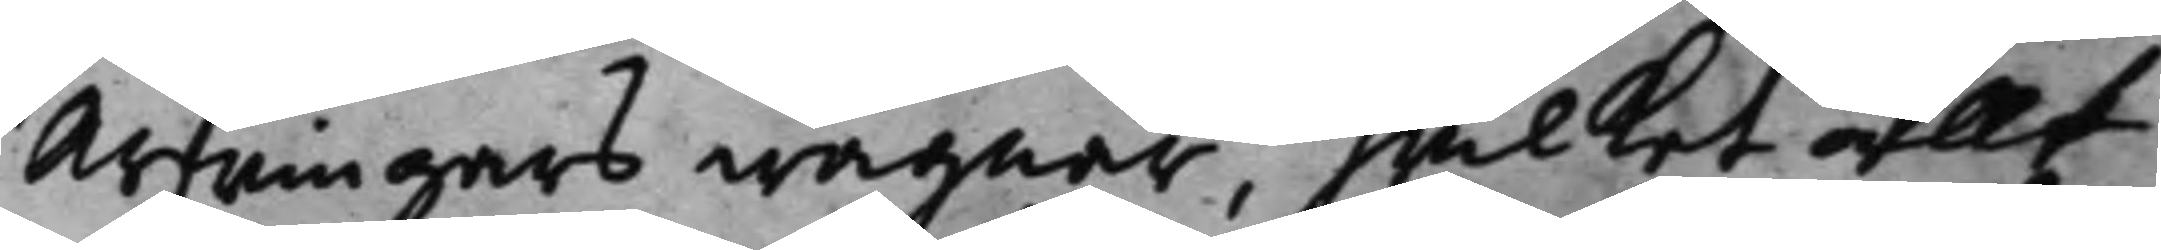Arfwingars wägnar, hwilket allt
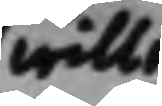wille
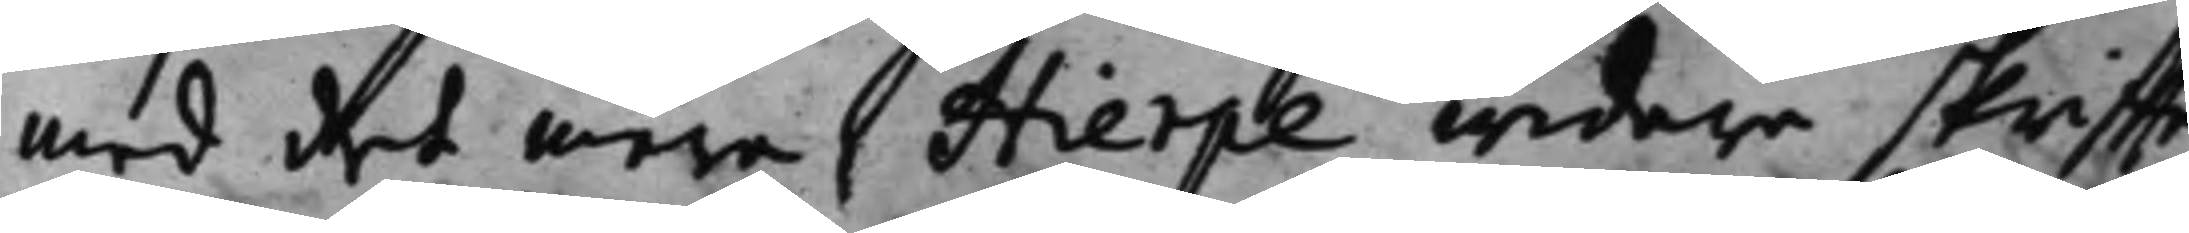med det mera Hierpe widare skriffte¬
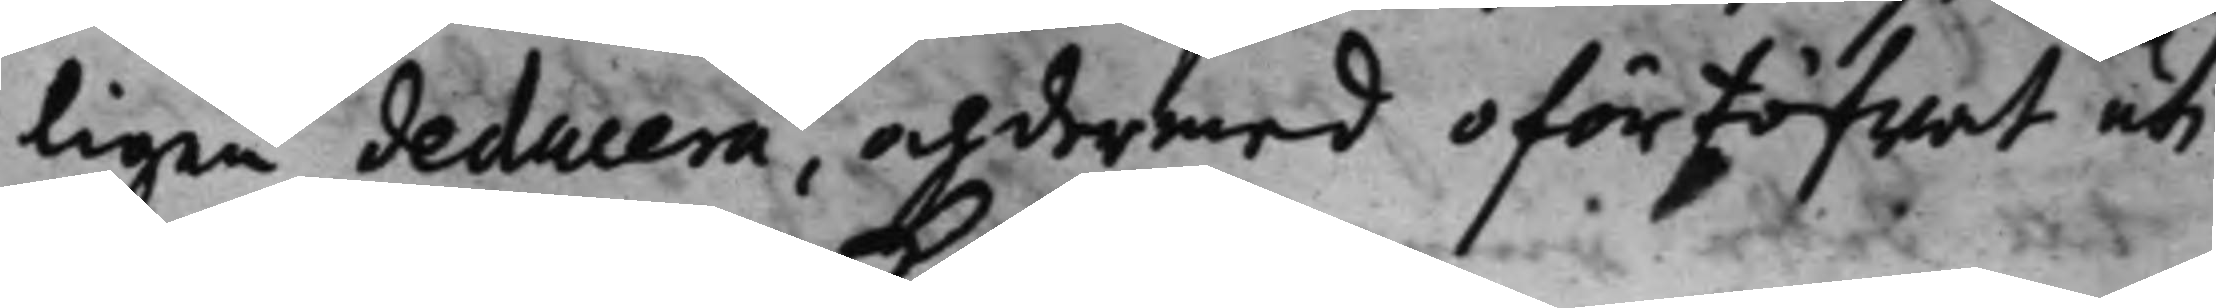ligen deducera, och dermed oförtöfwat uti
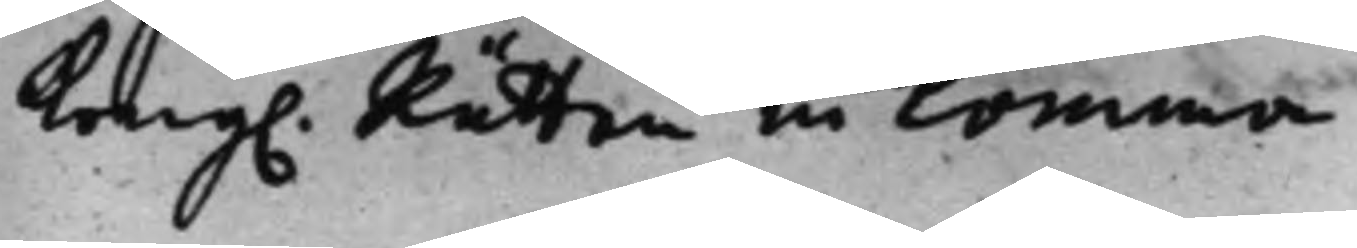Kong. Rätten inkomma. 
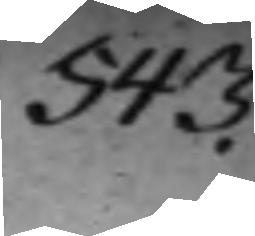543.
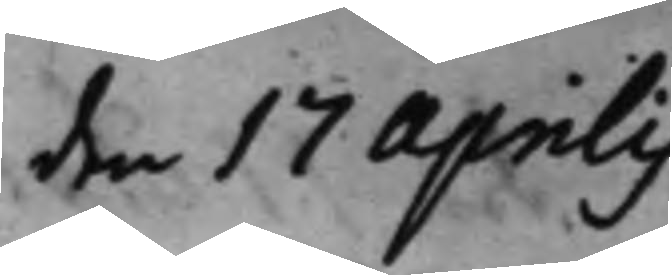den 17 Aprilis
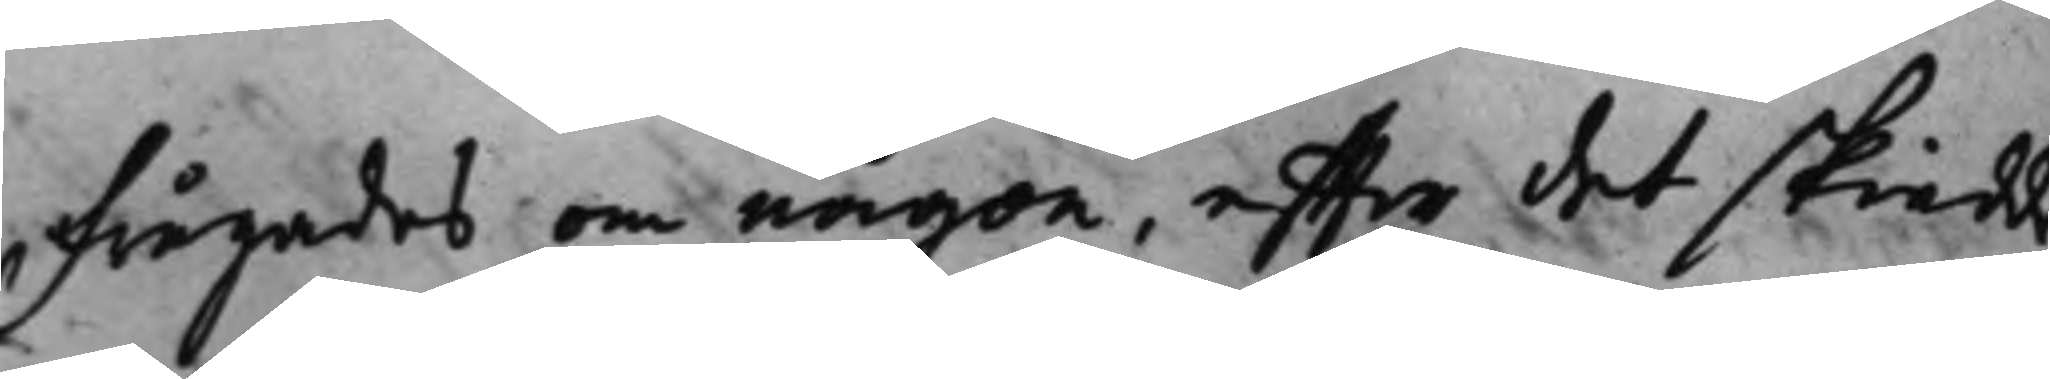frågades om någon, effter det skiedde
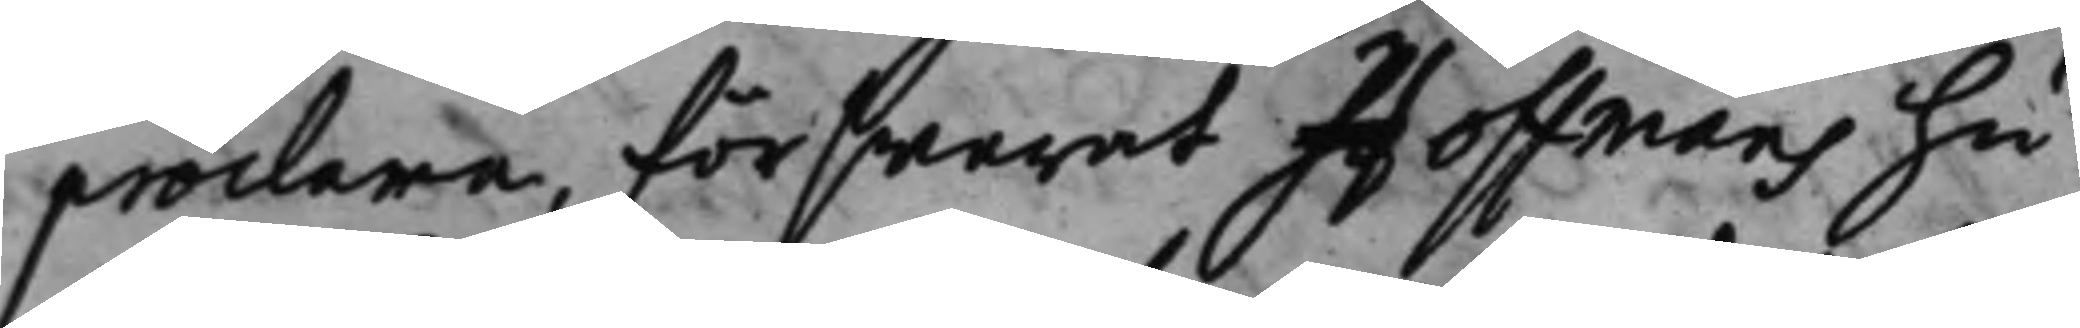proclana, förswarat Hoffmans hu¬
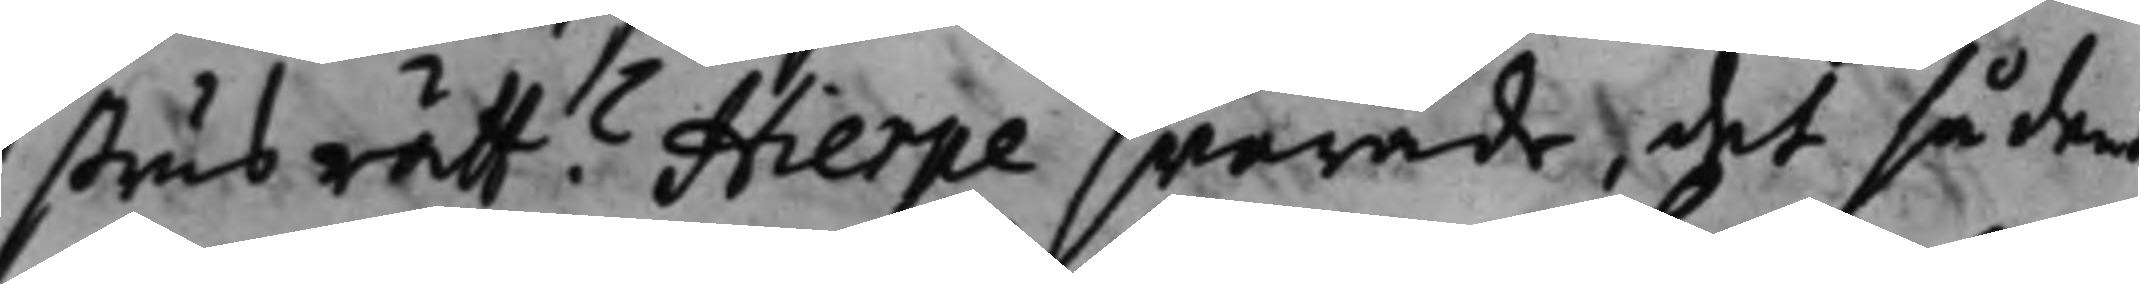strus rätt? Hierpe swarade, det sådant
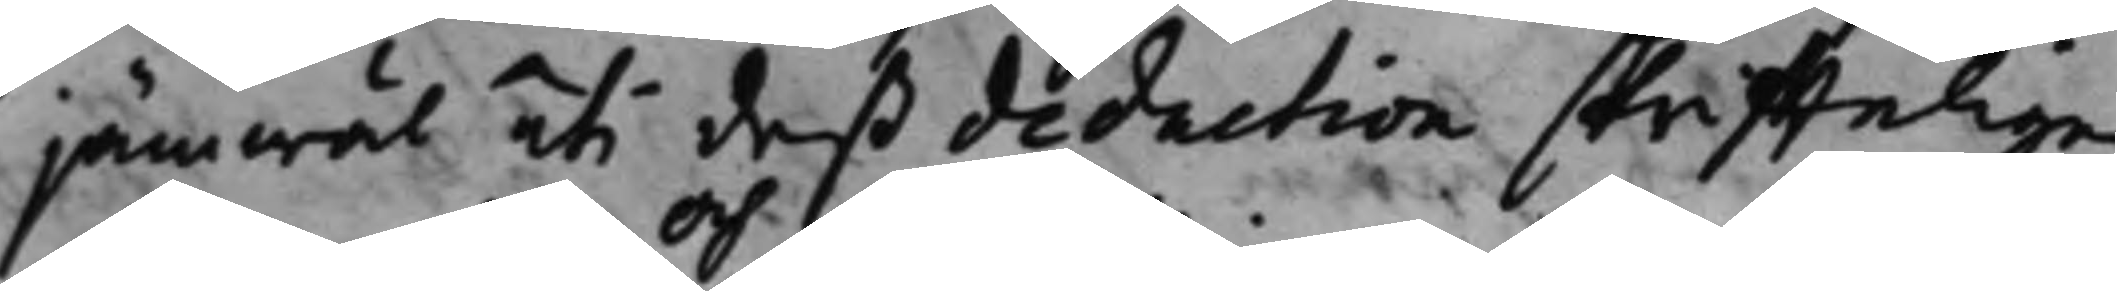jämwäl uti deß deduction skriffteligen
